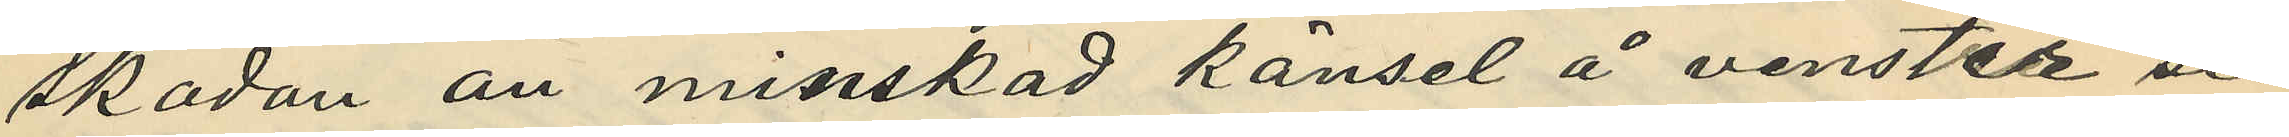skadan än minskad känsel å venster si¬
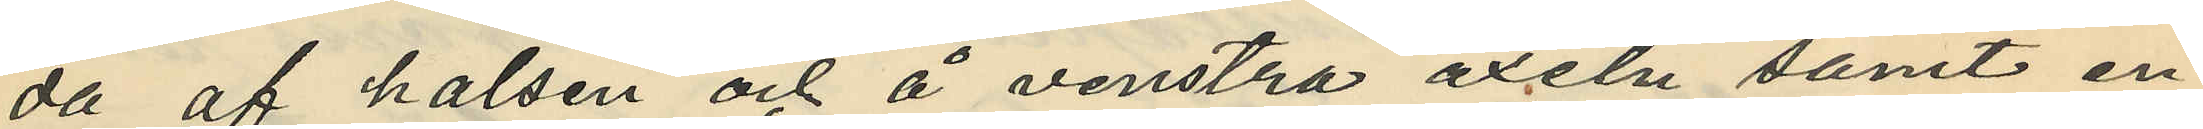da af halsen och å venstra axeln samt en
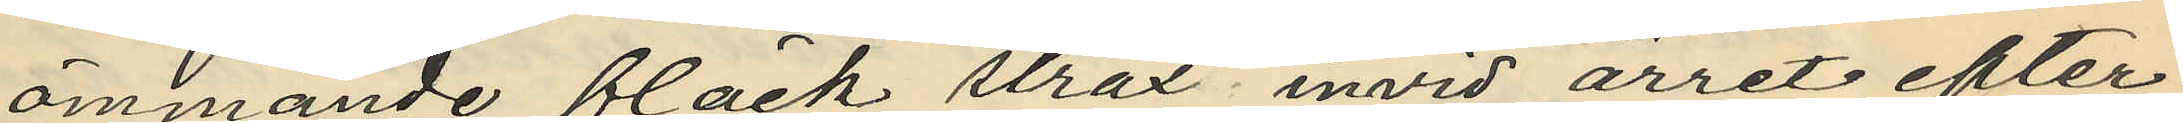ömmande fläck strax invid ärret efter
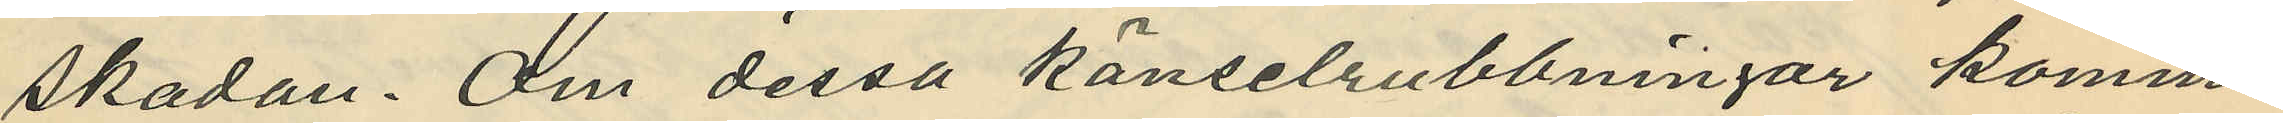skadan. Om dessa känselrubbningar komma
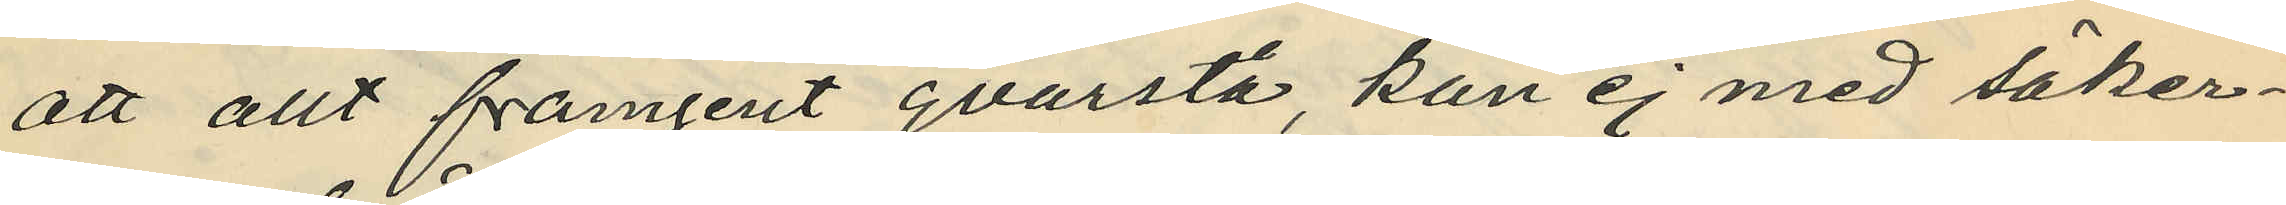att allt framgent qvarstå, kan ej med säker¬
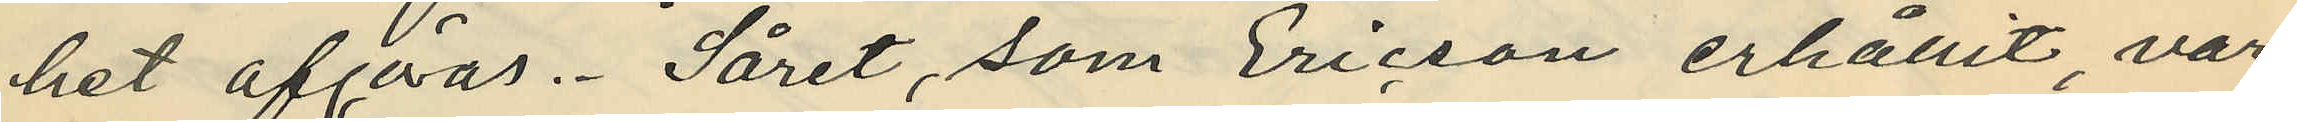het afgöras. Såret, som Ericson erhållit, var
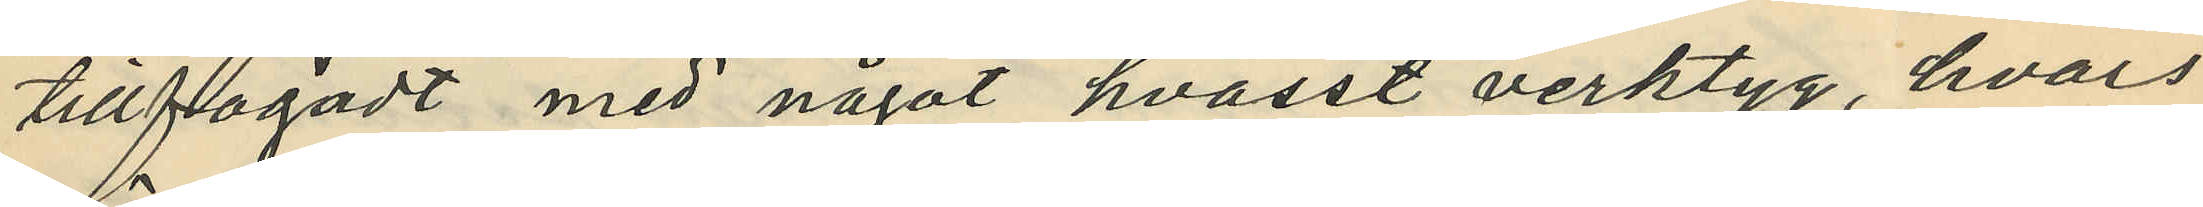tillfogadt med något hvasst verktyg, hvars
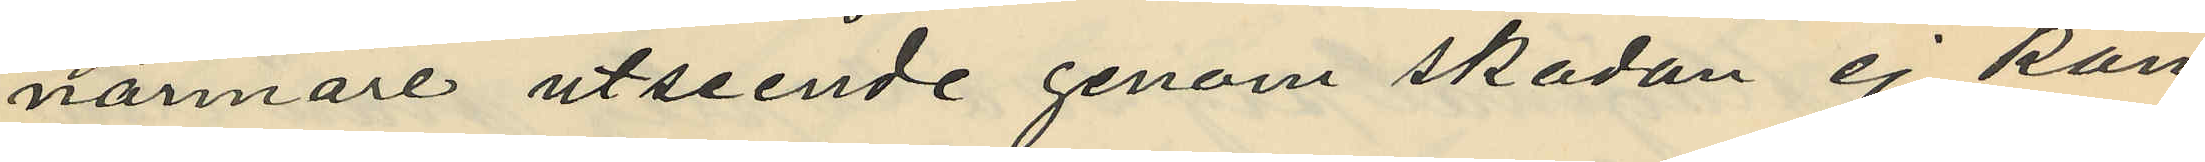nämmare utseende genom skadan ej kan
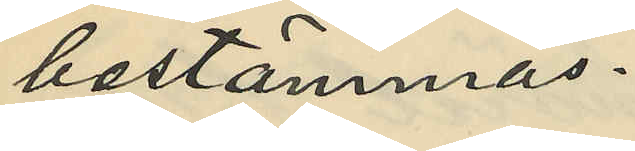bestämmas.
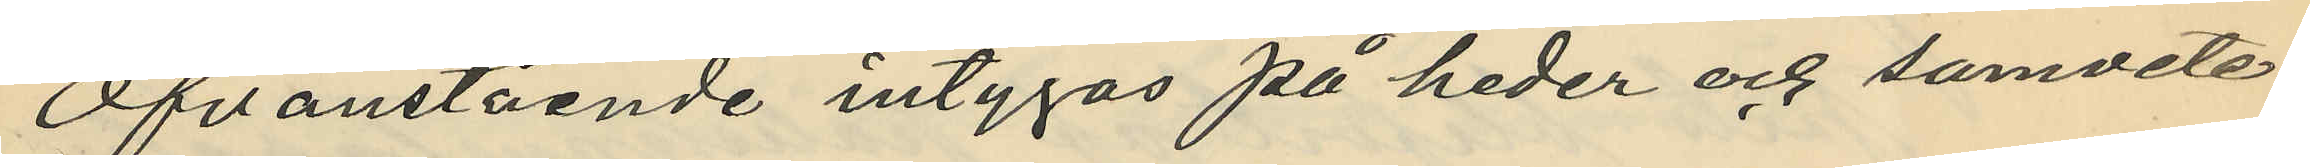Ofvanstående intygas på heder och samvete.
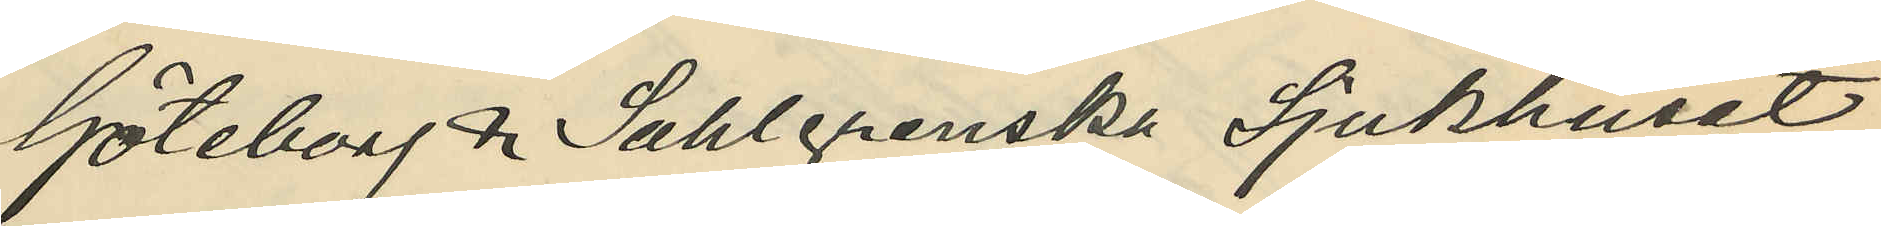Göteborg & Sahlgrenska Sjukhuset
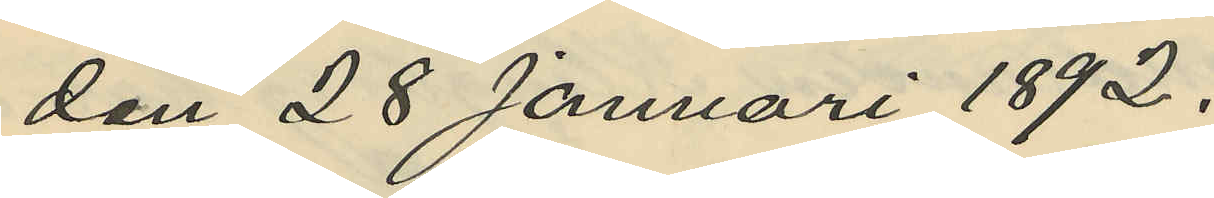den 28 Januari 1892.
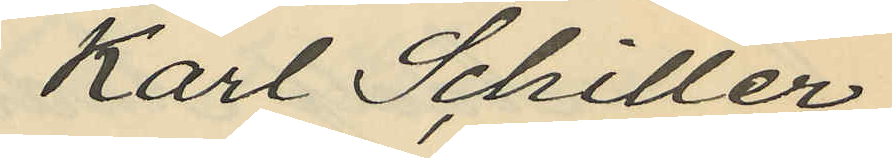Karl Schiller
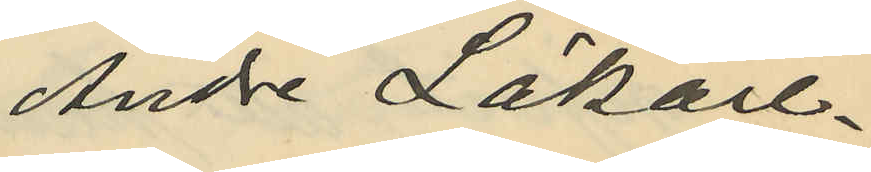Andre Läkare.
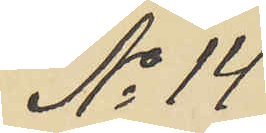No 14
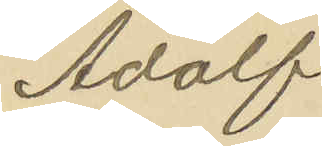Adolf
